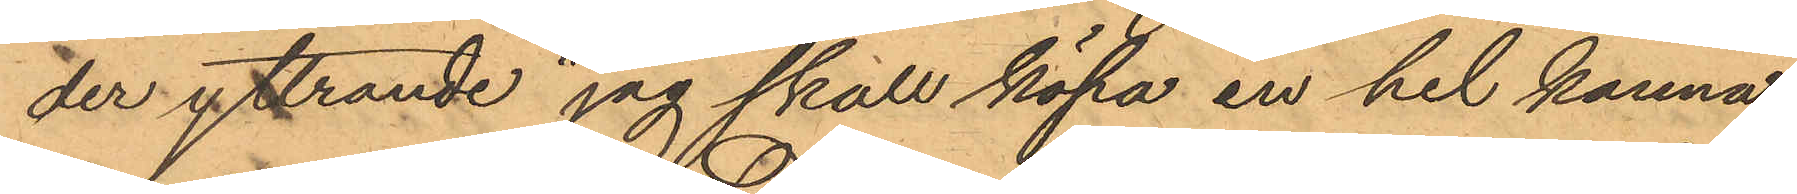der yttrande "jag skall köpa en hel kanna."
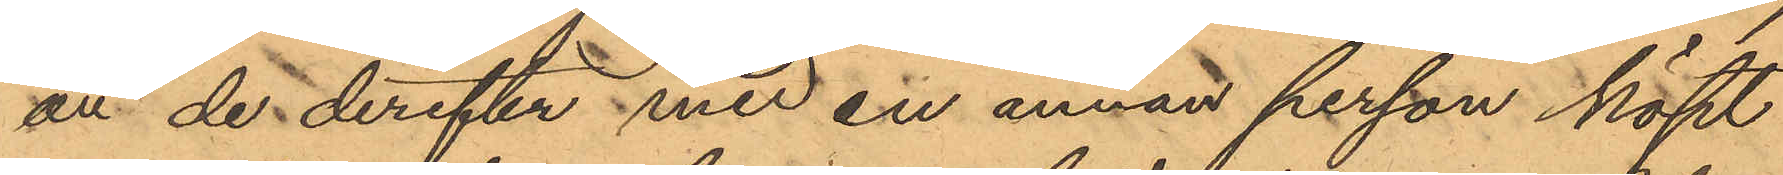att de derefter med en annan person köpt
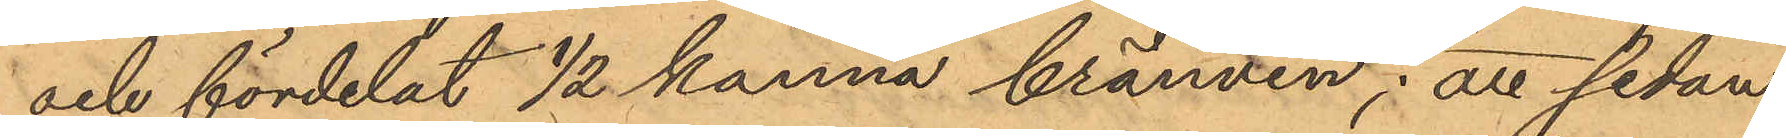och fördelat 1/2 kanna bränvin. att sedan
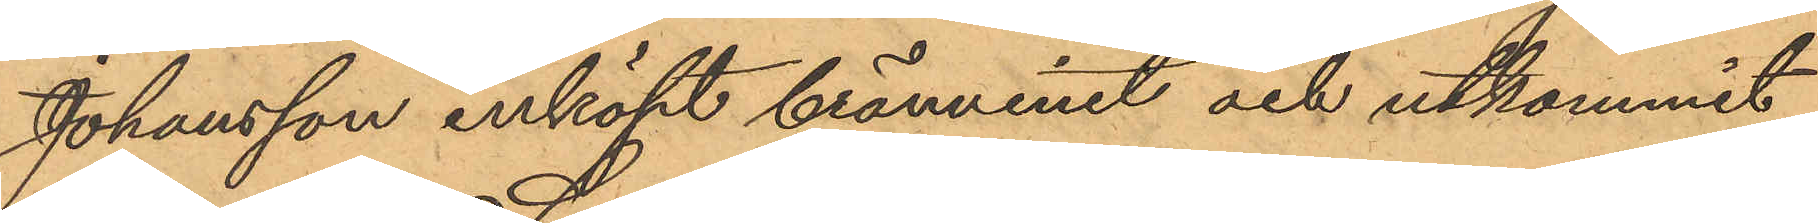Johansson inköpt brännvinet och utkommit
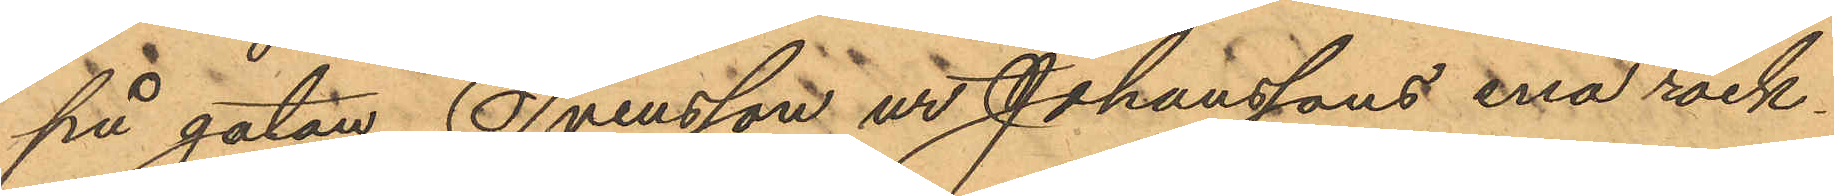på gatan Svensson ur Johanssons ena rock¬
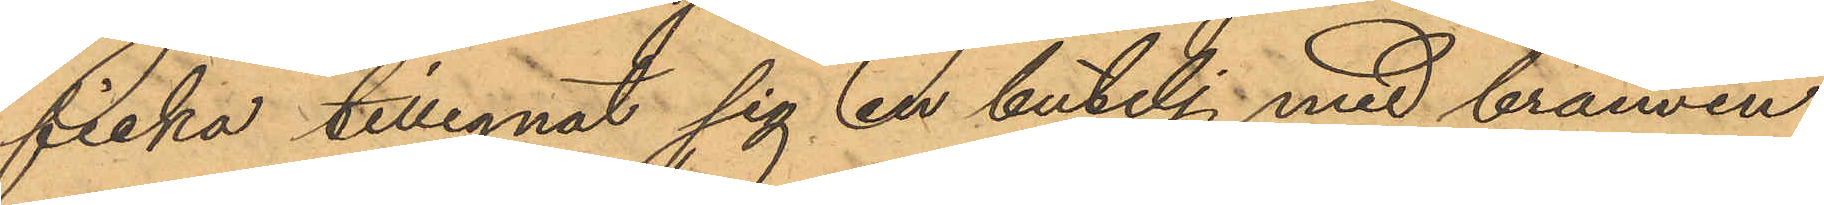ficka tillegnat sig en butelj med brännvin
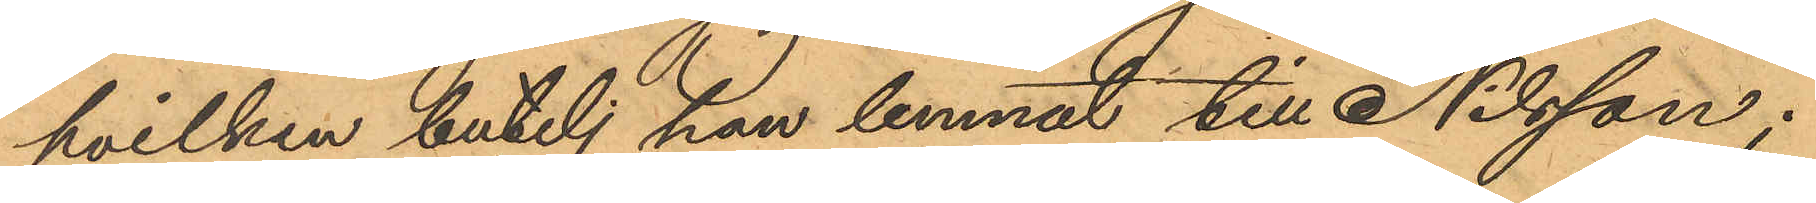hvilken butelj han lemnat till Nilsson;
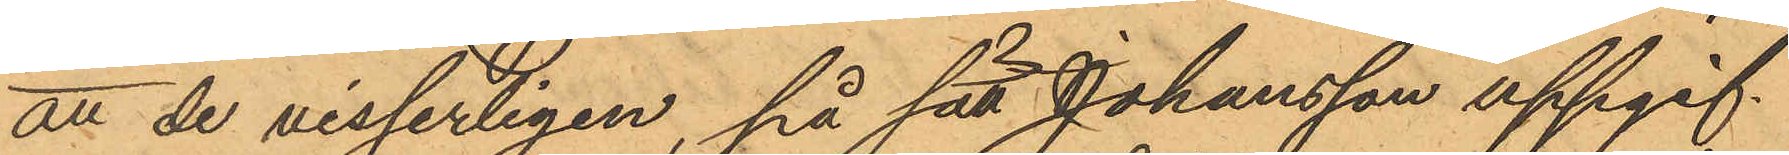att de visserligen, på sätt Johansson uppgif¬
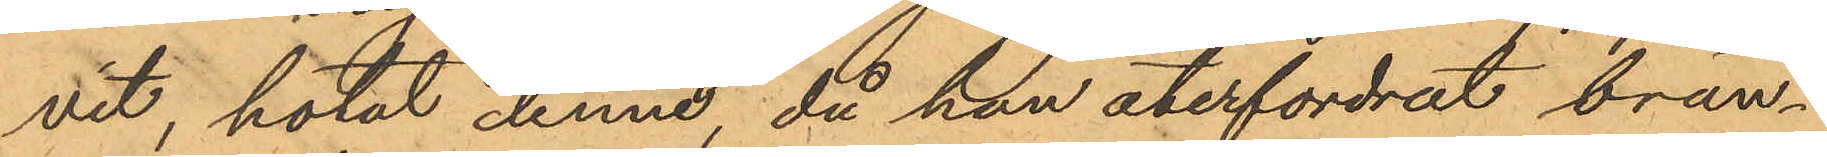vit, hotat denne, då han återfordrat brän¬
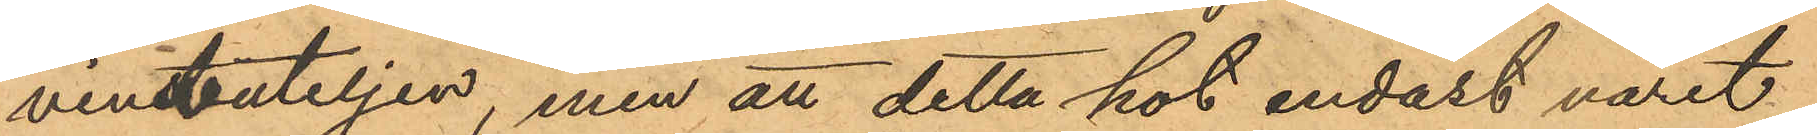vinsbuteljen, men att detta hot endast varit
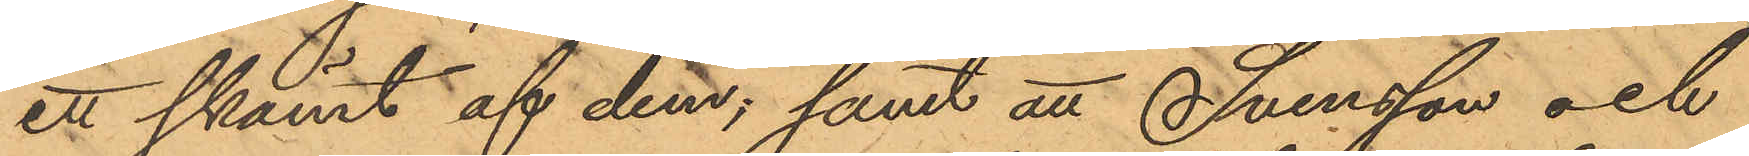ett skämt af dem; samt att Svensson och
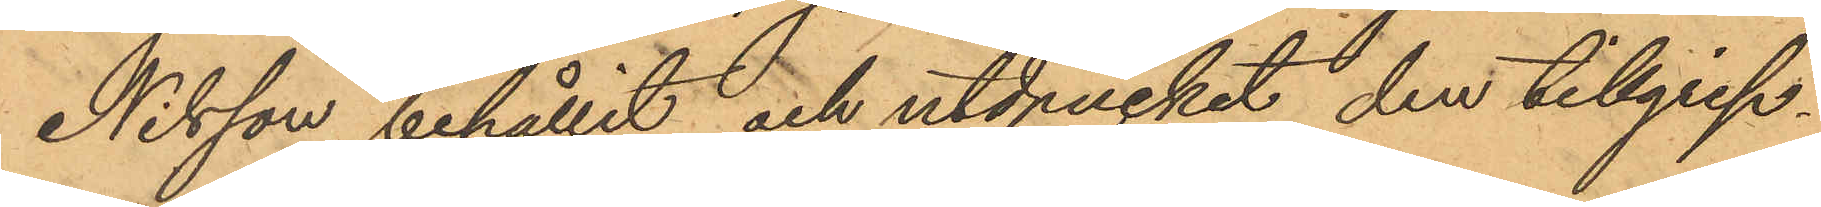Nilsson behållit och utdruckit den tillgrep¬
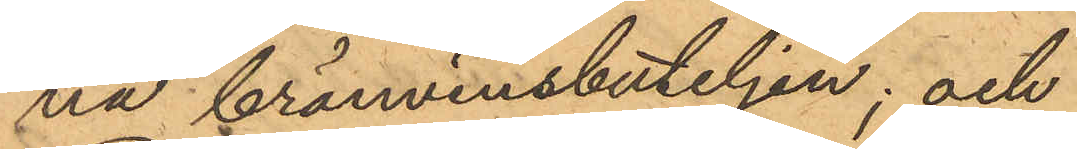na bränvinsbuteljen; och
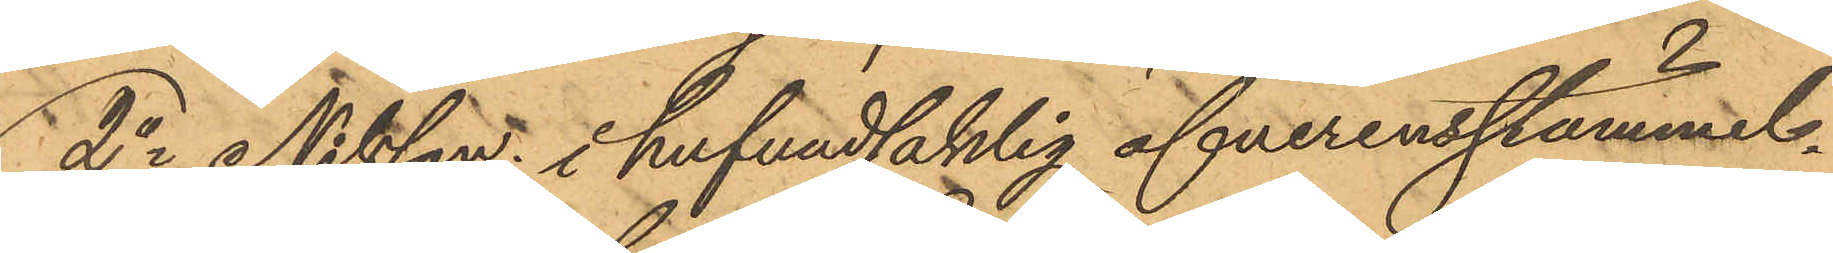2o Nilsson i hufvudsaklig öfverensstämmel
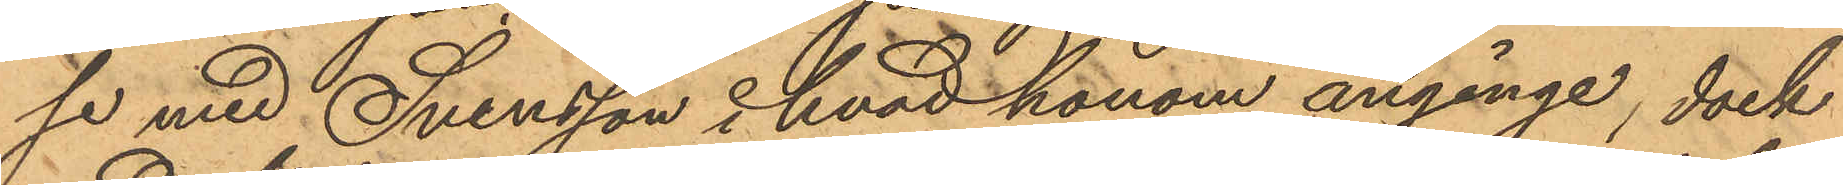se med Svensson i hvad honom anginge, dock
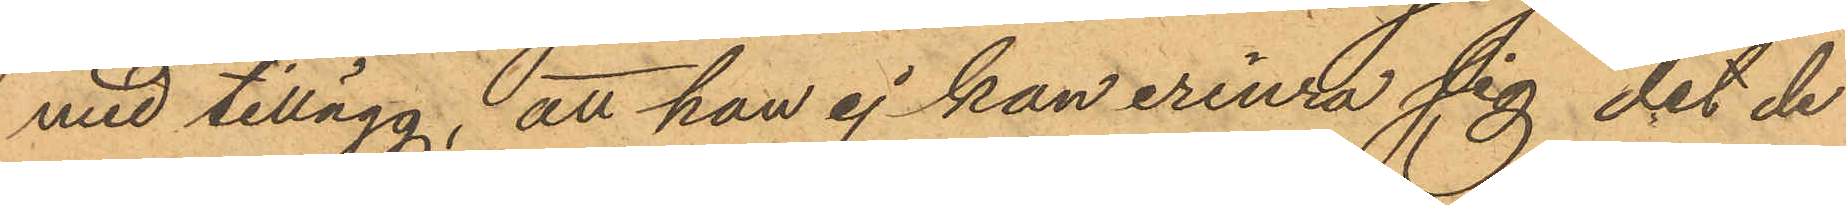med tillägg, att han ej kan erinra sig det de
